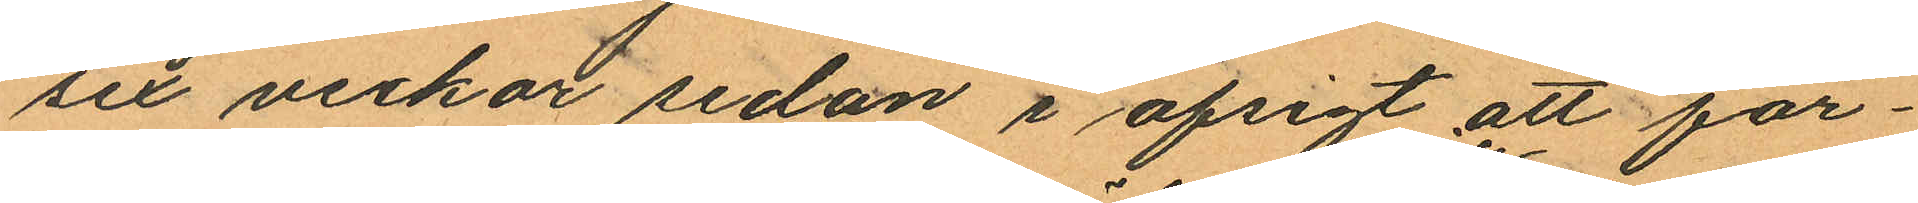sex veckor sedan i afsigt att för¬
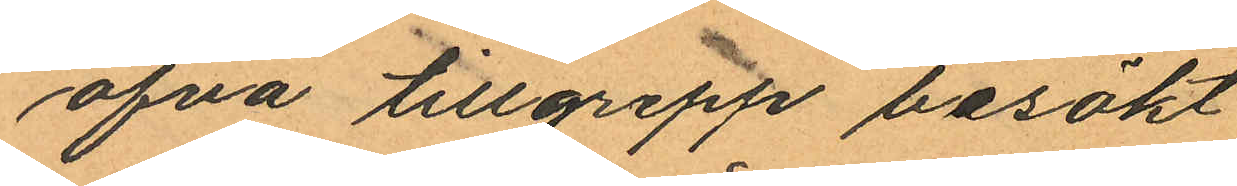öfva tillgrepp besökt
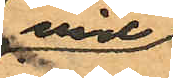vid
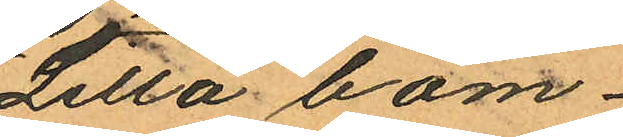Lilla bom¬
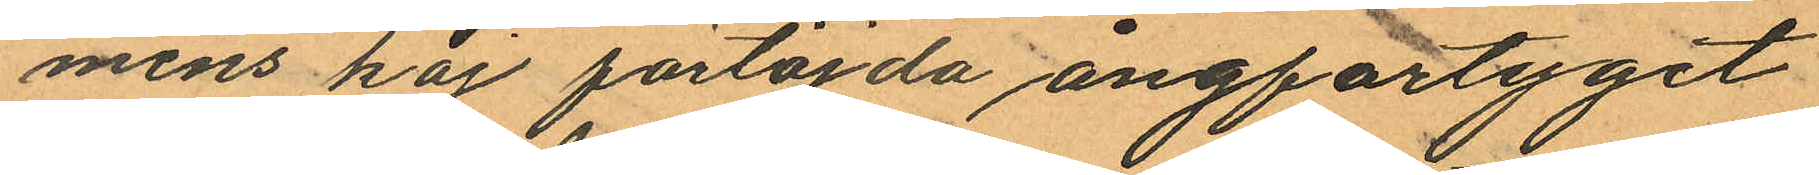mens kaj förtöjda ångfartyget
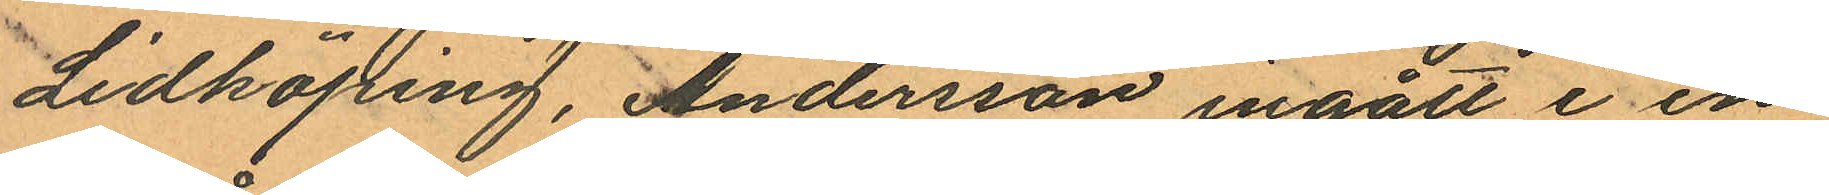Lidköping, Andersson ingått i en
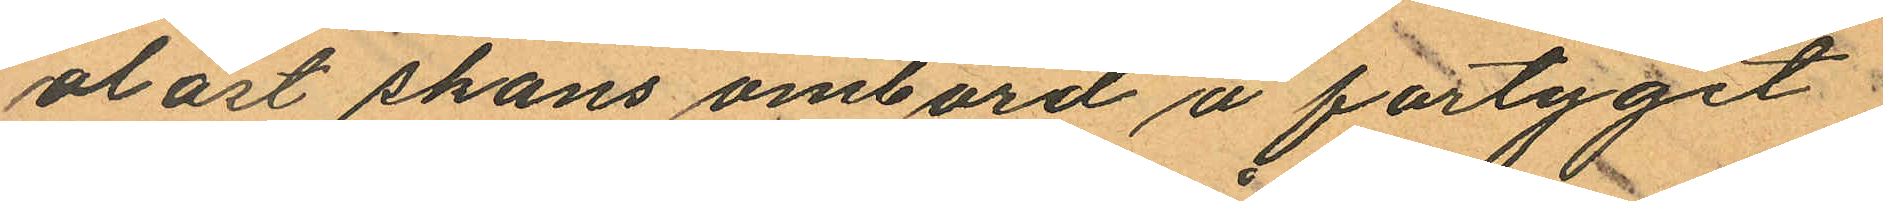olåst skans ombord å fartyget
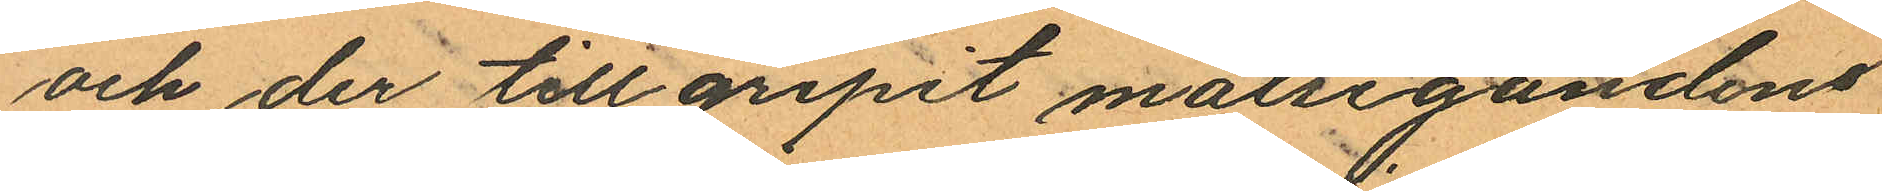och der tillgripit målsegandens
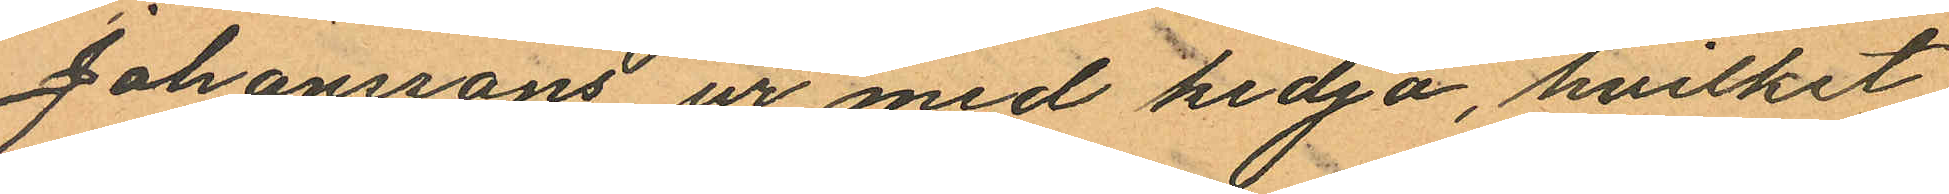Johanssons ur med kedja, hvilket
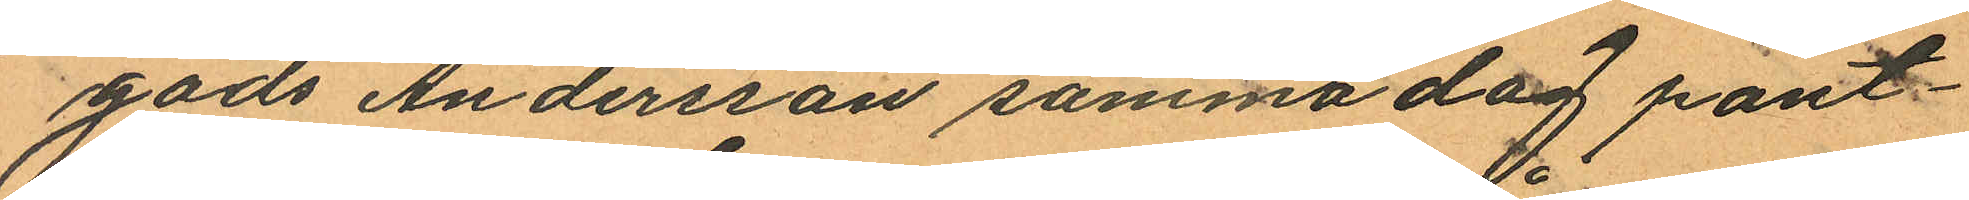gods Andersson samma dag pant¬
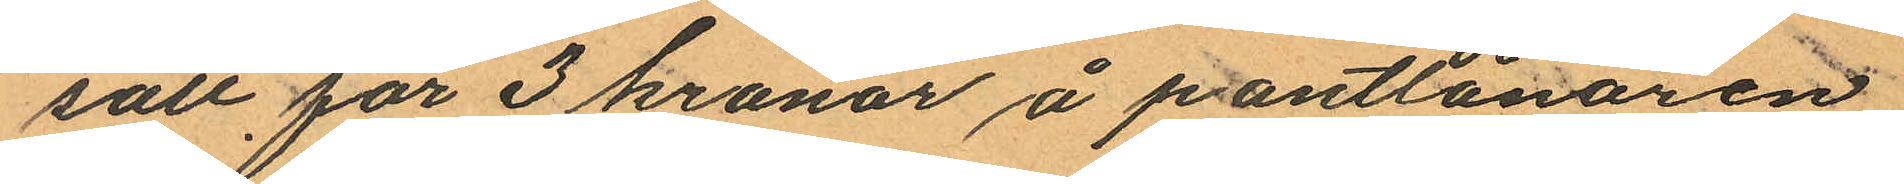satt för 3 kronor å pantlånaren
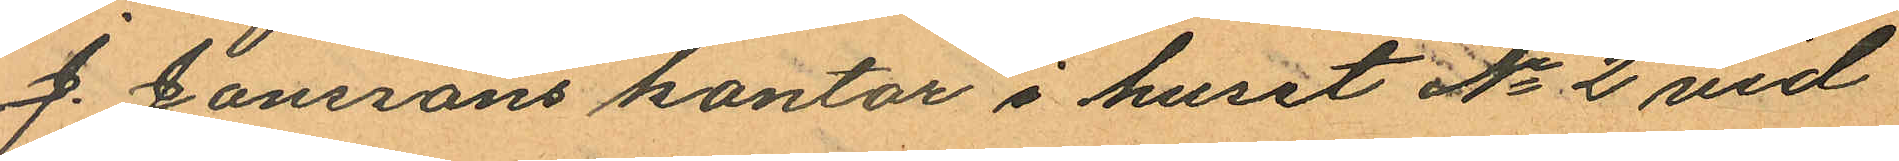J. Jonssons kontor i huset No 2 vid
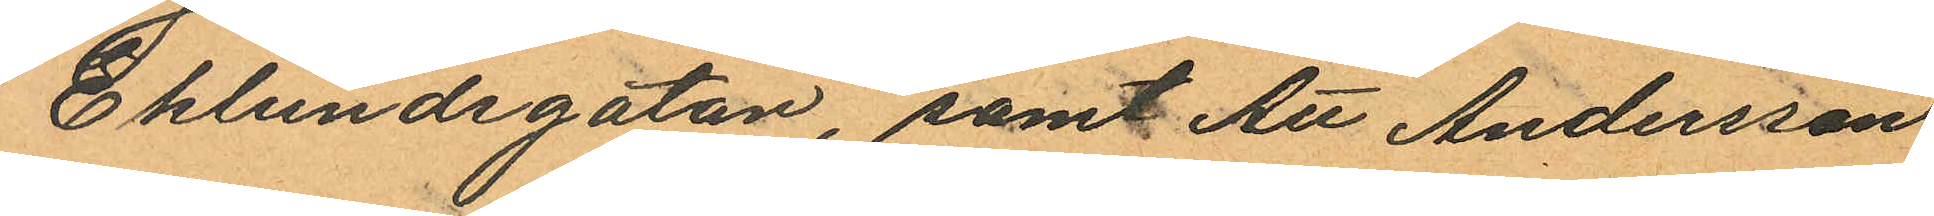Eklundsgatan, samt Att Andersson
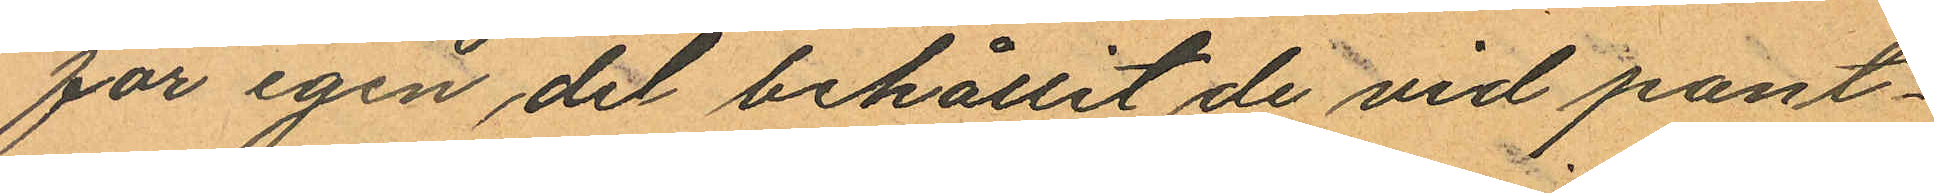för igen del behållit de vid pant¬
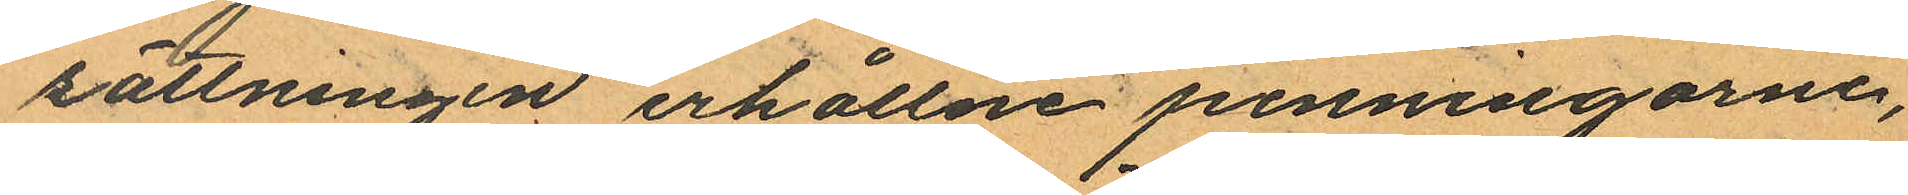sättningen erhållne penningarne,
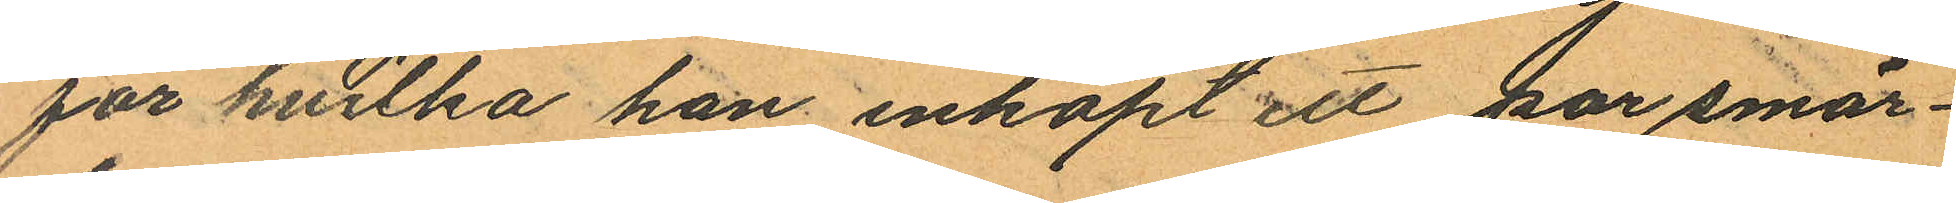för hvilka han inköpt ett par smär¬
